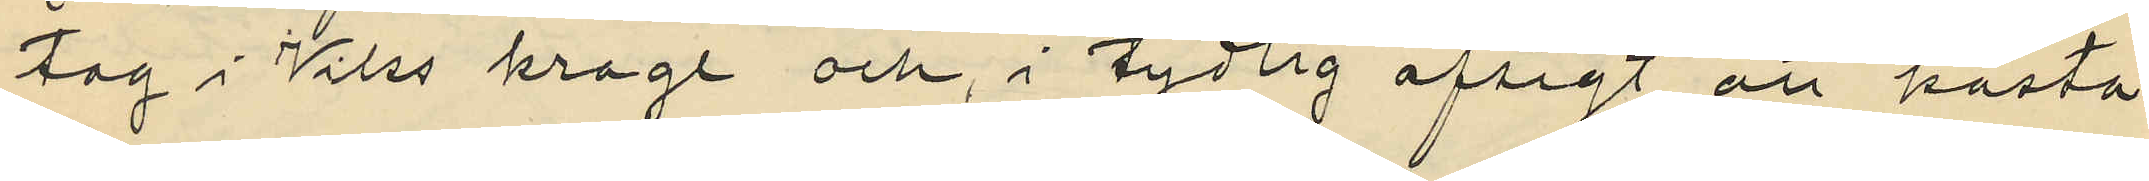tag i Viks krage och, i tydlig afsigt att kasta
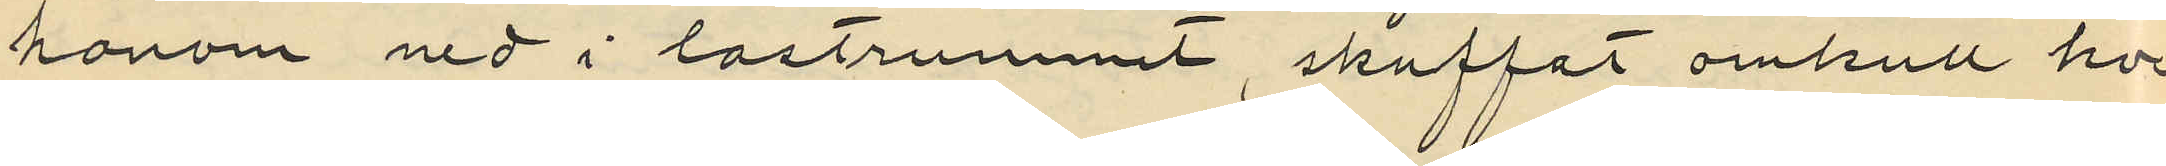honom ned i lastrummet, skuffat omkull hon¬
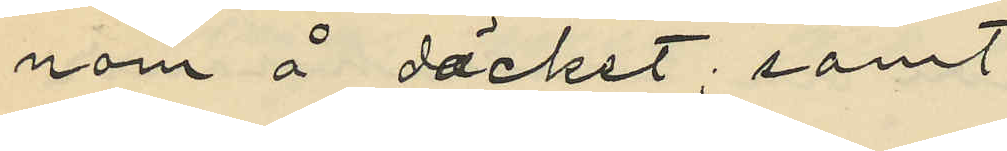nom å däcket; samt
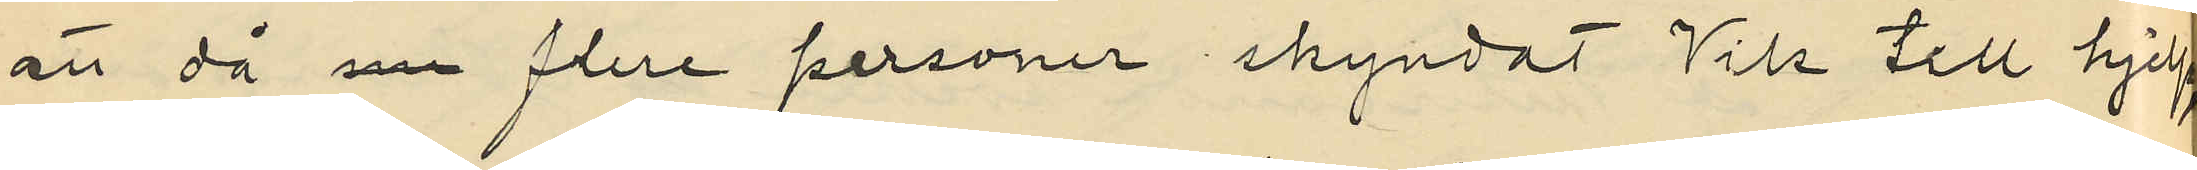att då nu flera personer skyndat Vik till hjelp
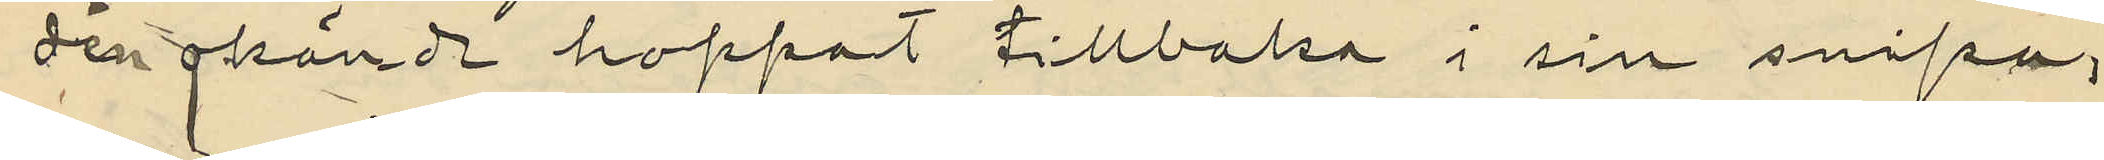den okända hoppat tillbaka i sin snipa,
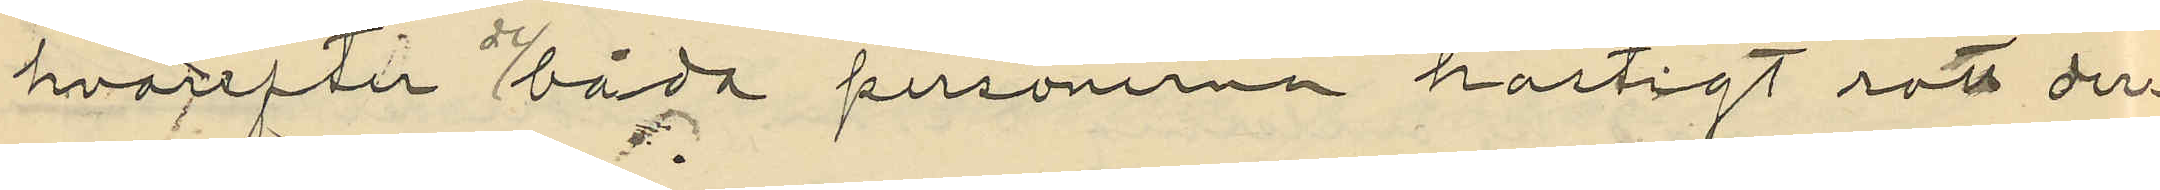hvarefter båda personerna hastigt rott der¬
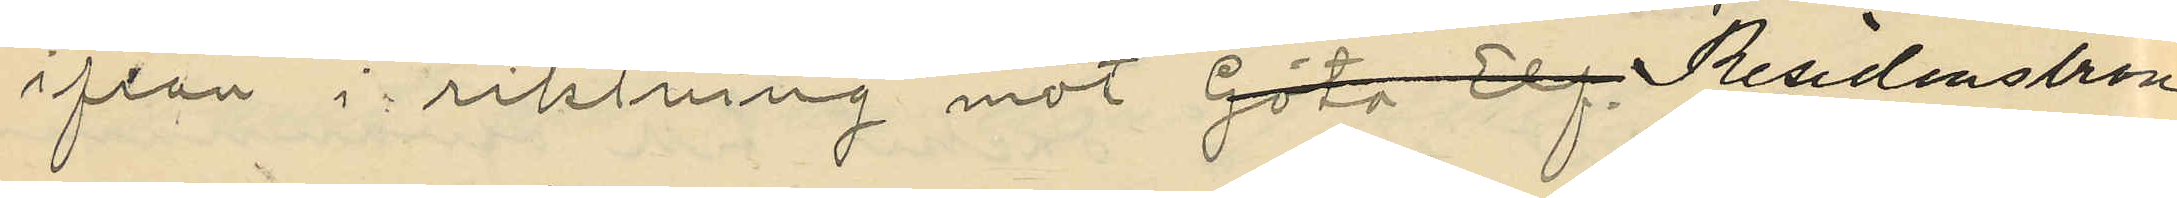ifrån i riktning mot Residensbron.
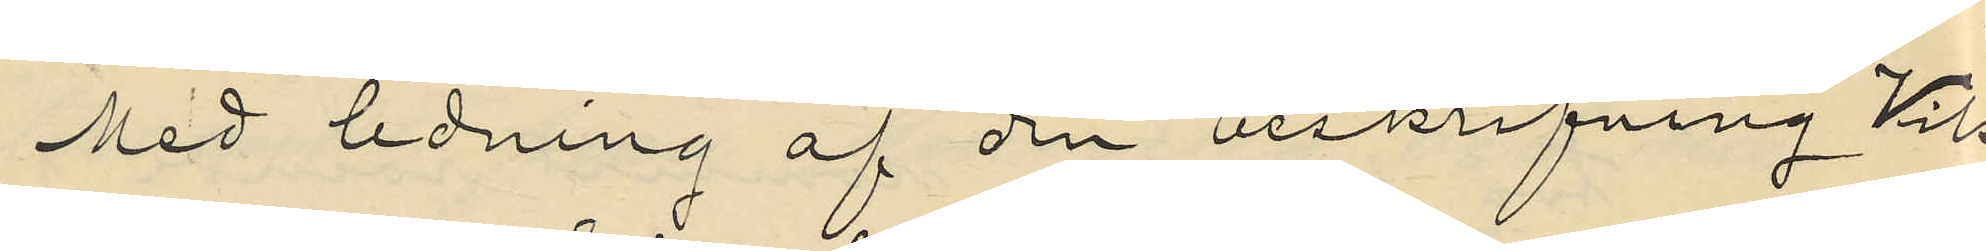Med ledning af den beskrifning Vik
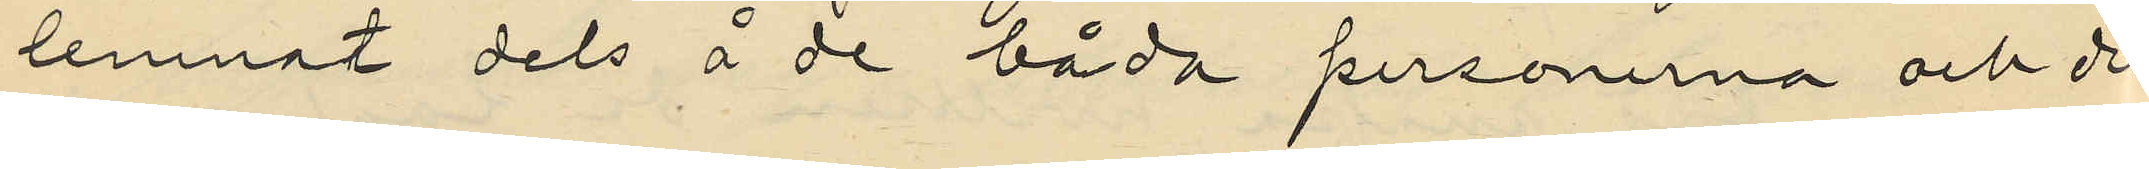lemnat dels å de båda personerna och dels
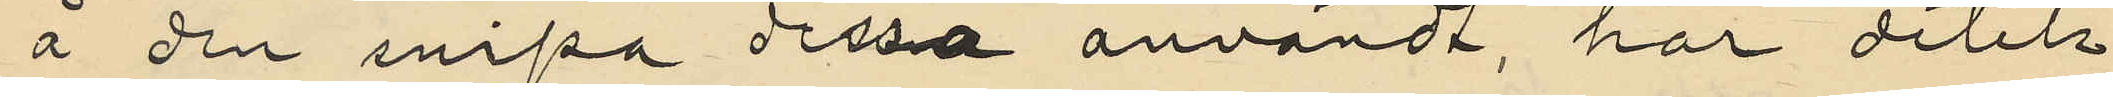å den snipa dessa användt har detek¬
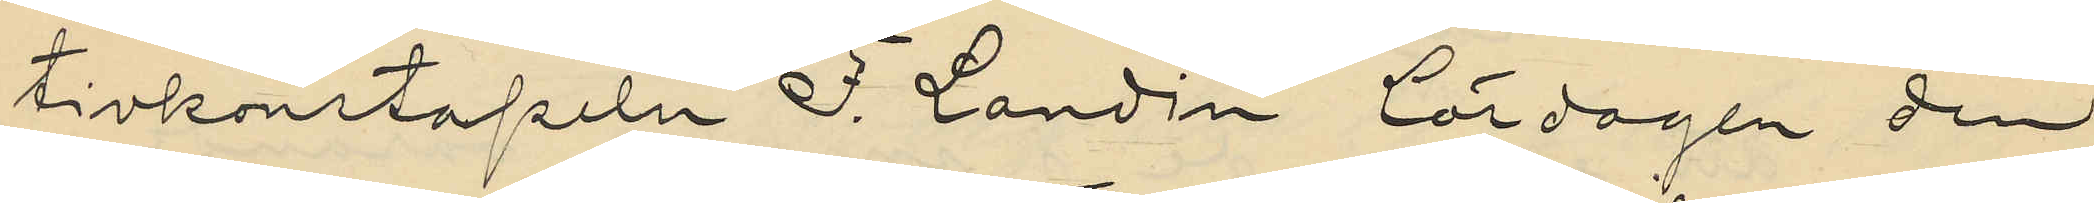tivkonstapeln F. Landin lördagen den
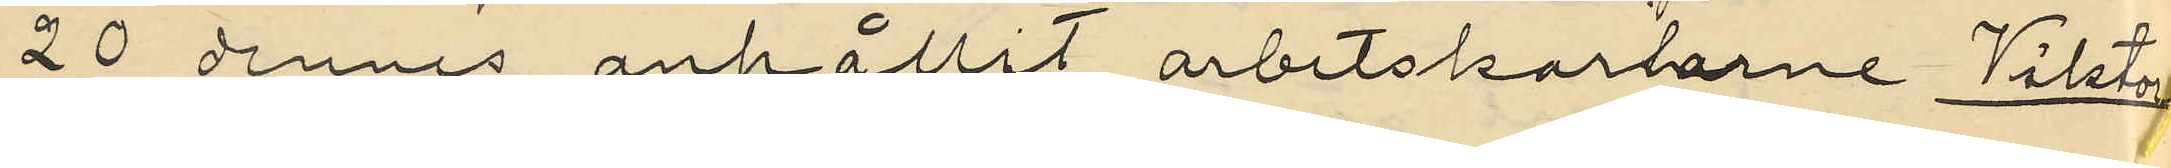20 dennes anhållit arbetskarlarne Viktor
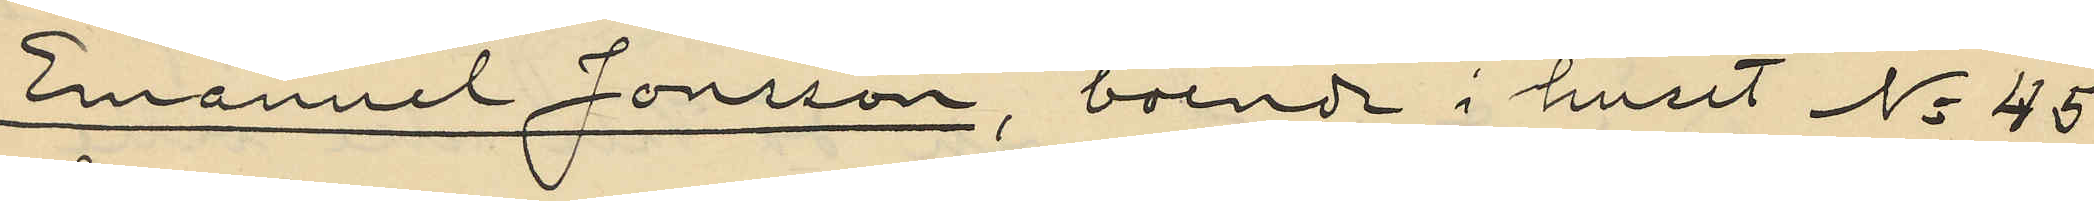Emanuel Jonsson, boende i huset No 45
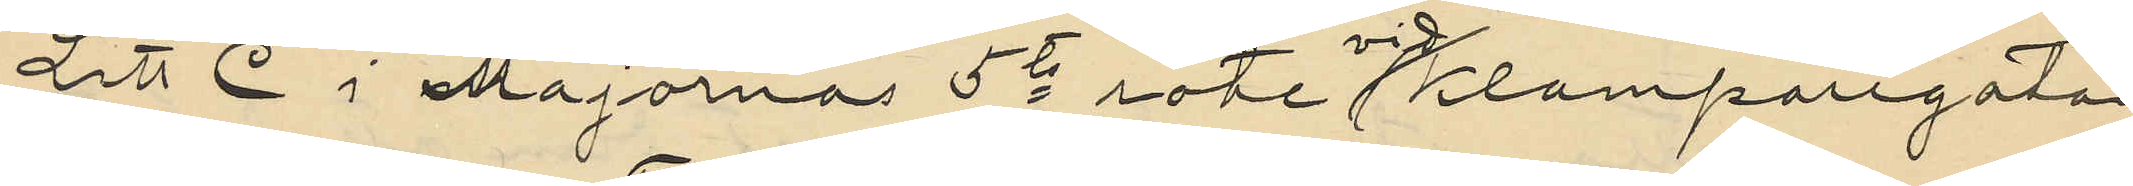Litt C i Majornas 5te rote vid Klamparegatan
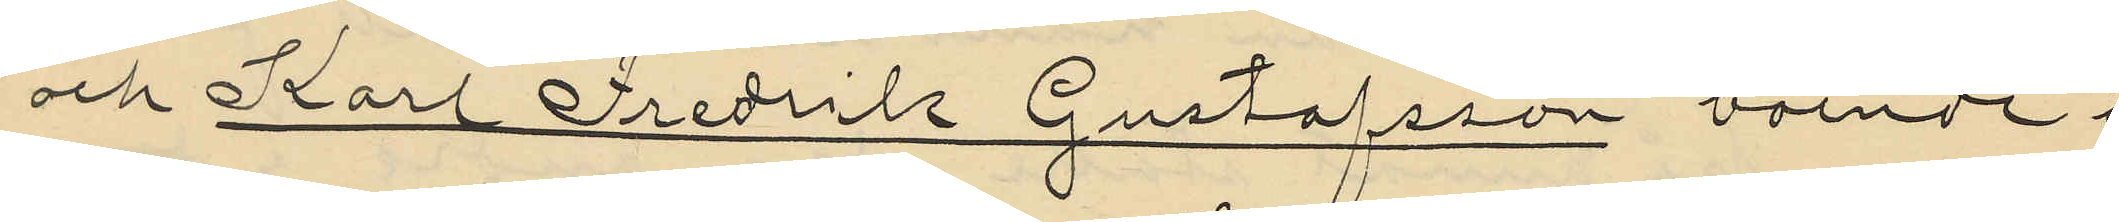och Karl Fredrik Gustafsson boende i
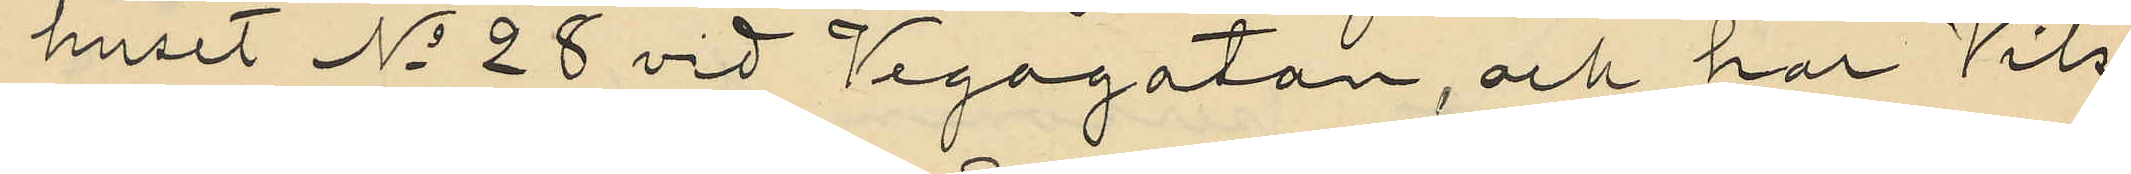huset No 28 vid Vegagatan, och har Vik
